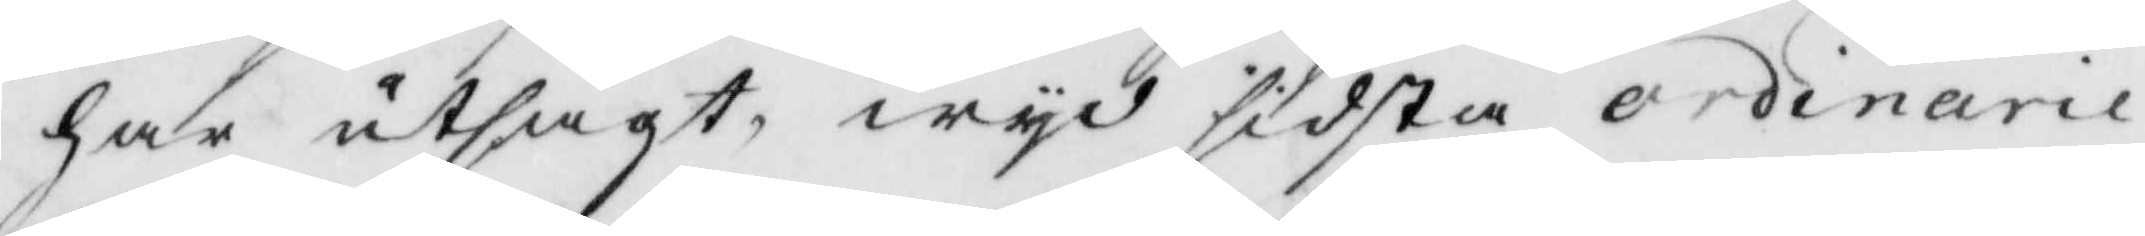har utsagt, wyd sidsta ordinarie
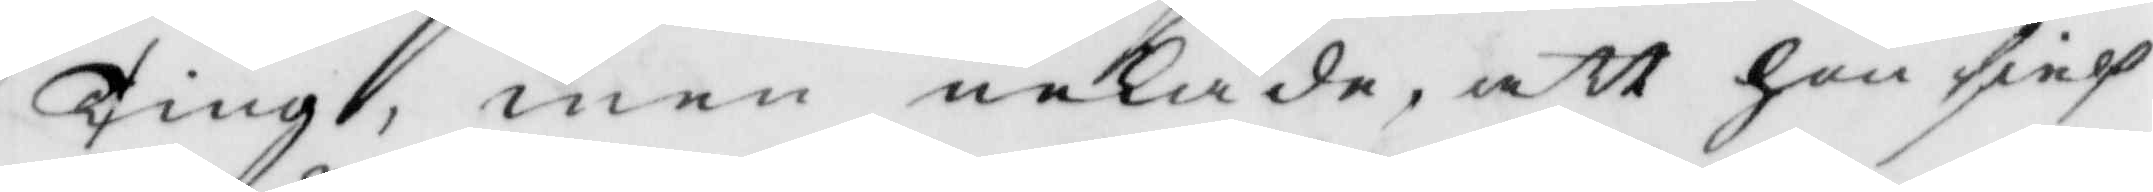Ting, men nekade, att hon sielf
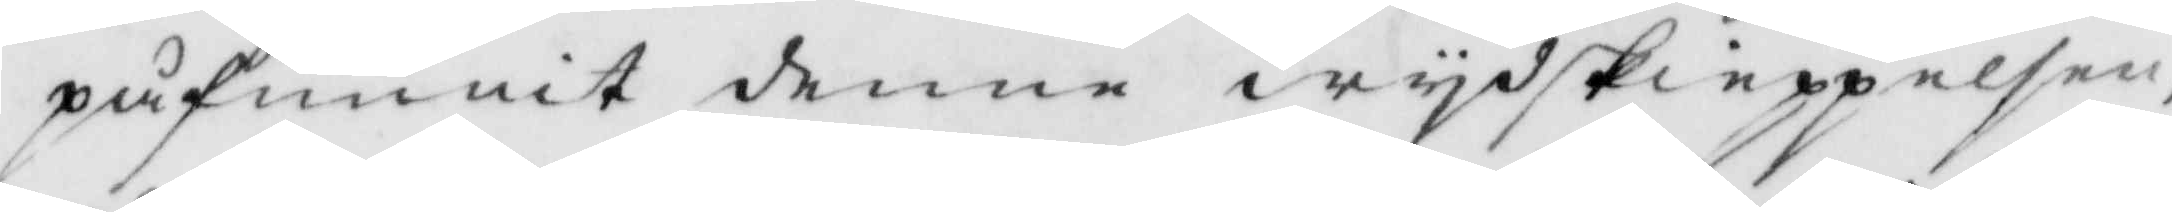påfunnit denne wydskieppelsen,
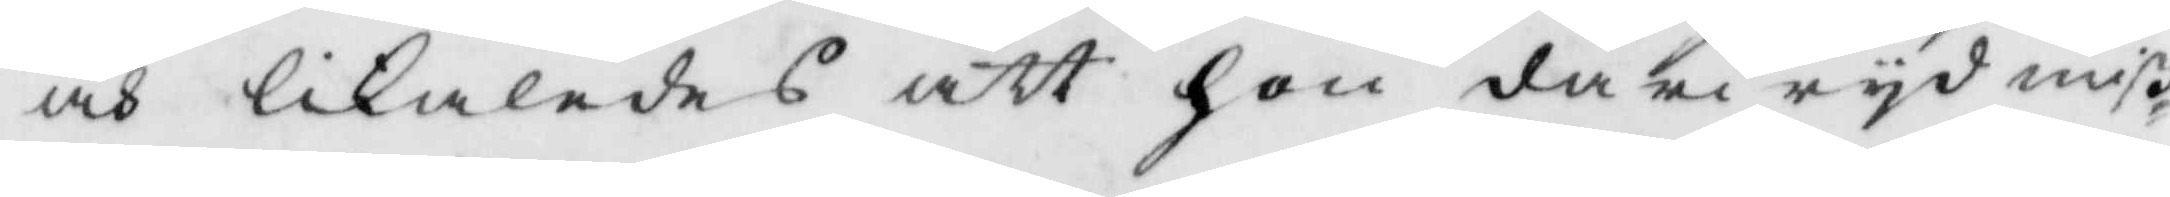och likaledes att hon därwyd miß¬
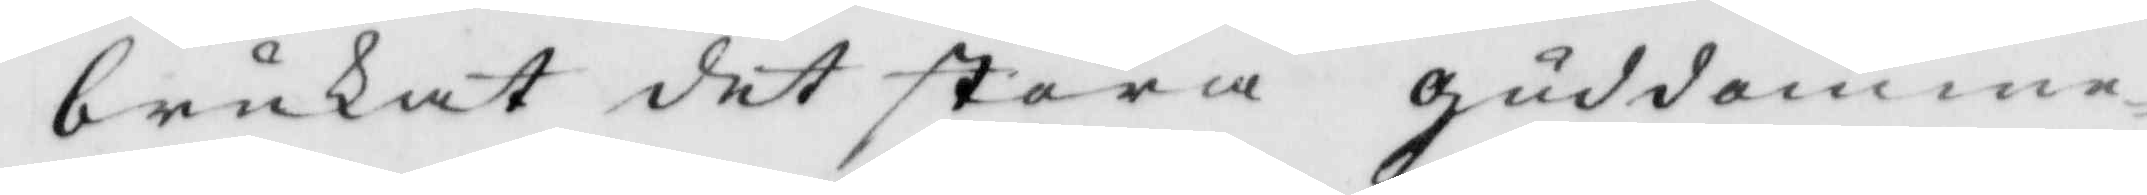brukat det stora guddomme¬
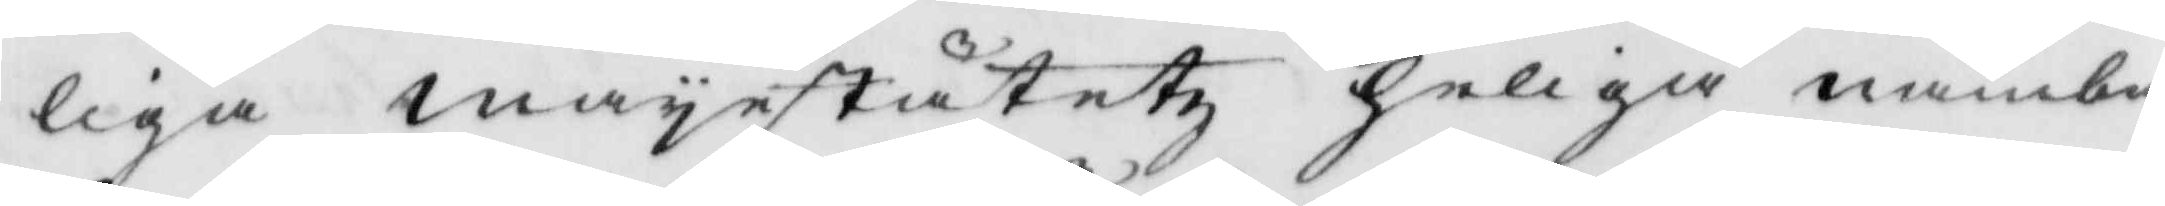liga mayestätetz Heliga nambn,
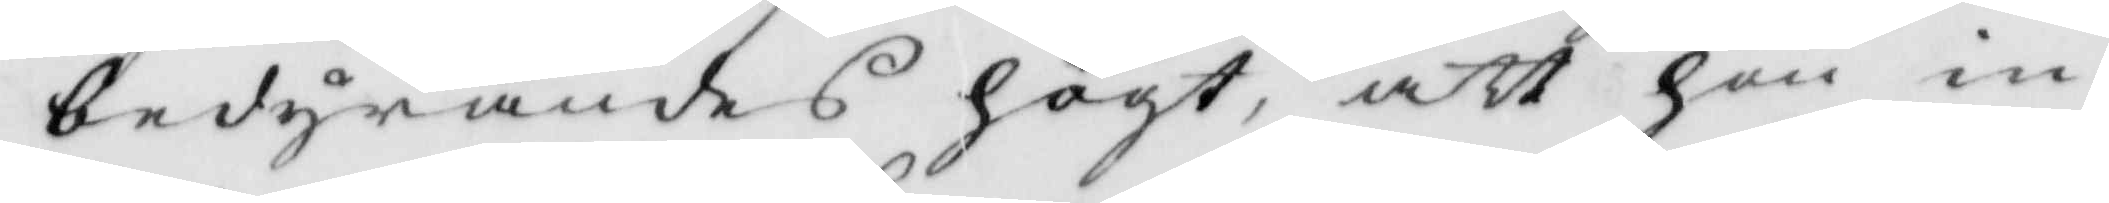bedyrandes högt, att hon in¬
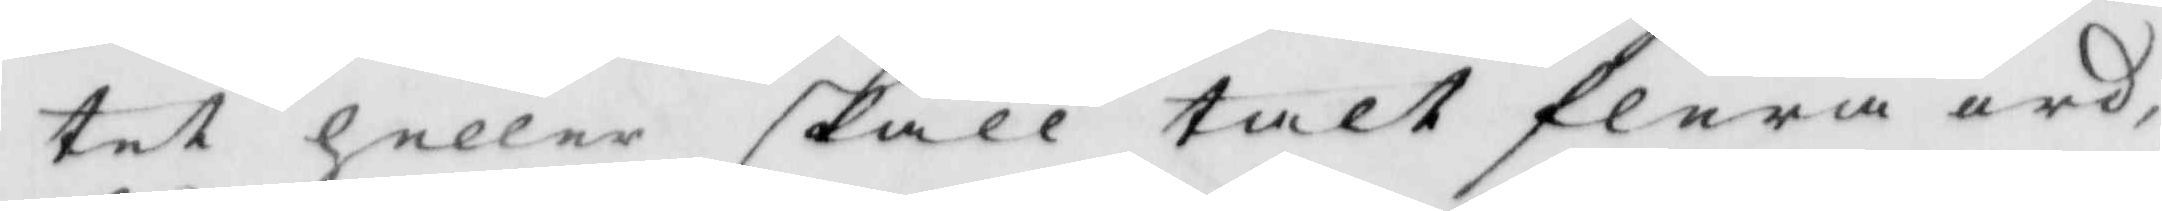tet heller skall talt flera ord,
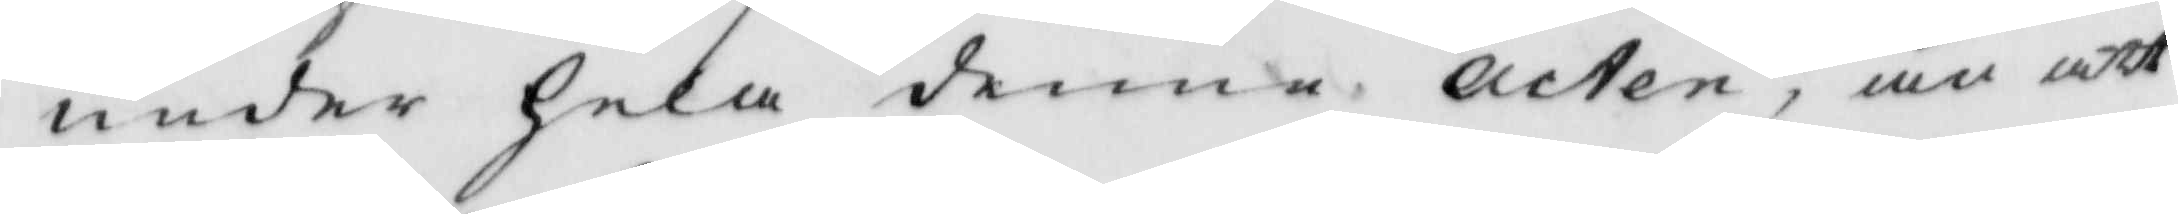under hela denne acten, än att
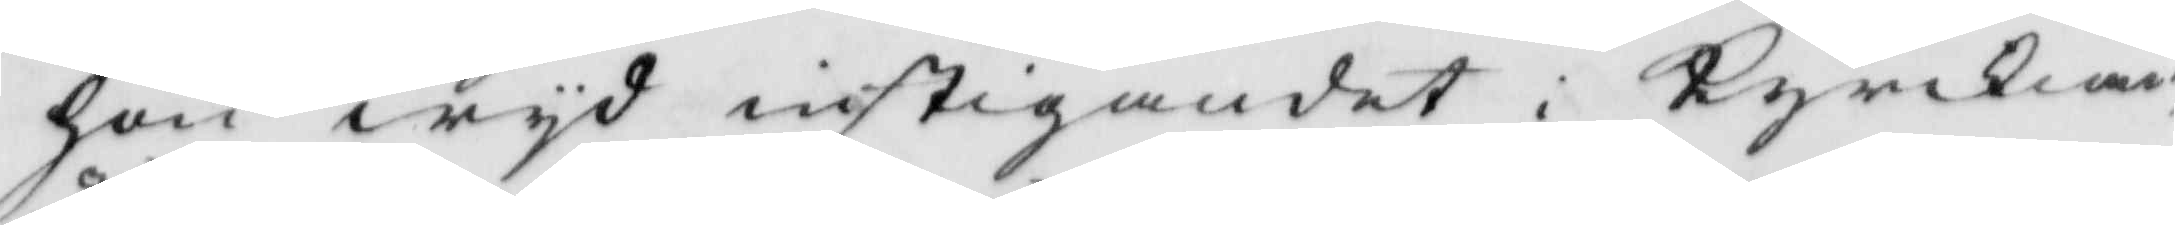hon wyd instigandet i Kyrkian
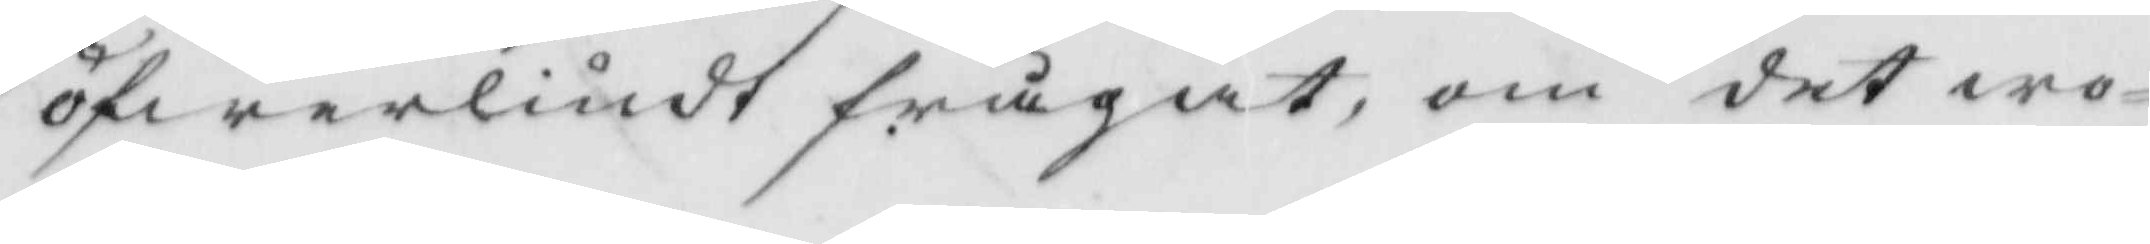öfwerliudt frågat, om det wo¬
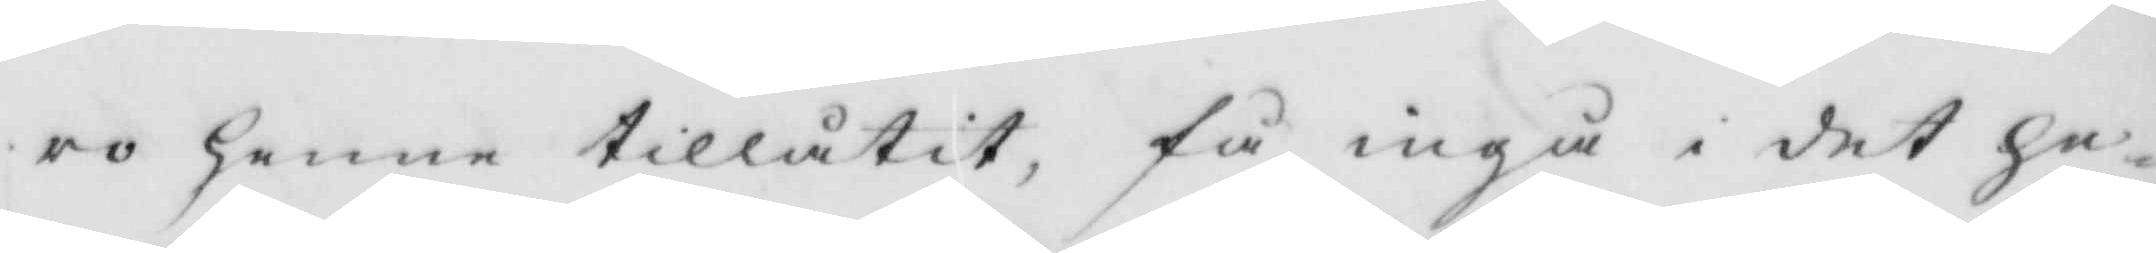ro henne tillåtit, få ingå i det He¬
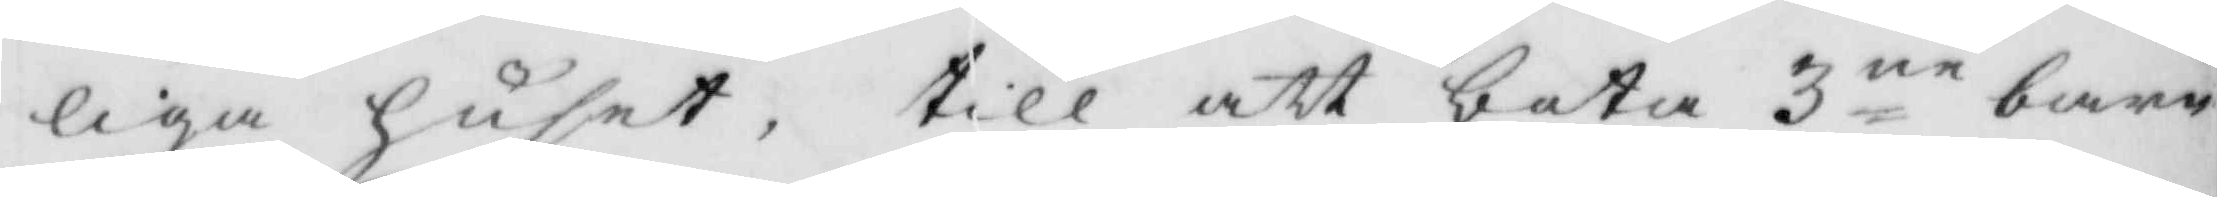liga huset, till att bota 3ne barn
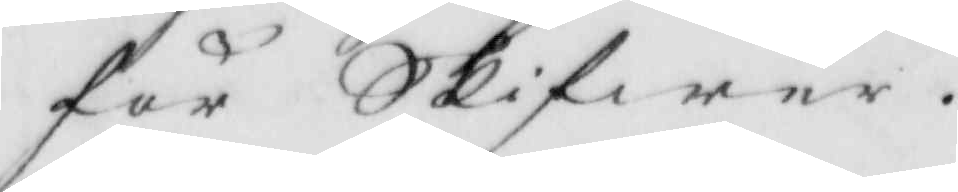för Skifwer.
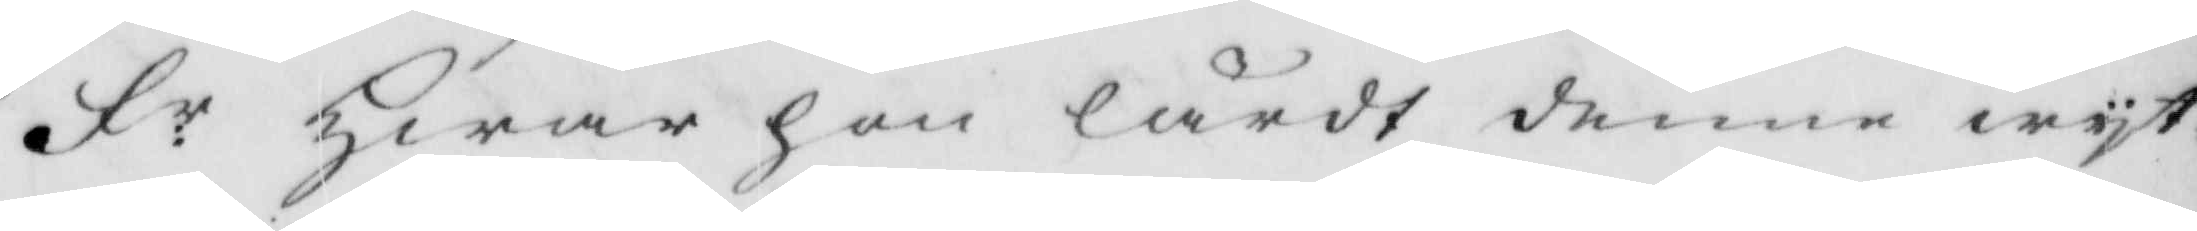Fr. Hwar hon lärdt denne wyt¬
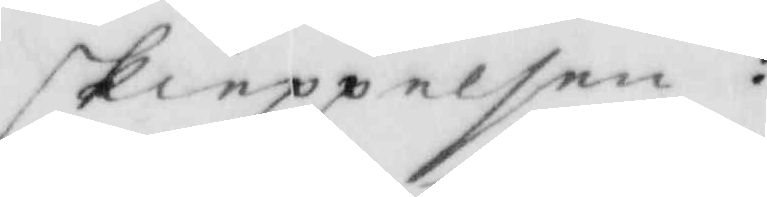skieppelsen?
